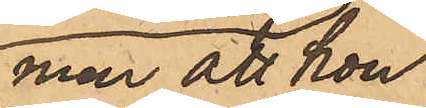men att hon
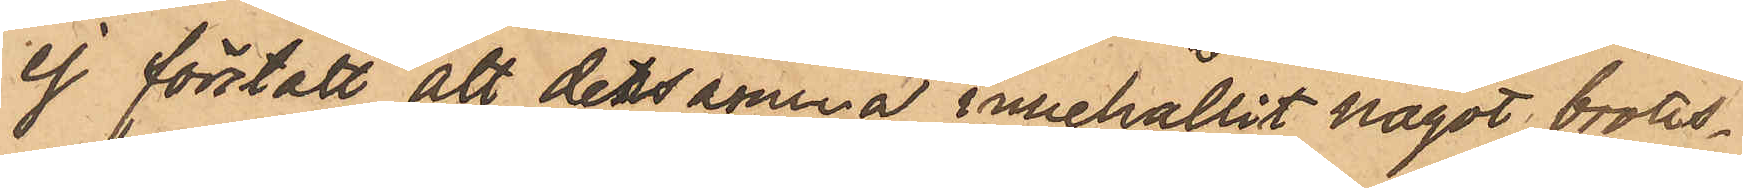ej förstått att detsamma innehållit något brotts¬
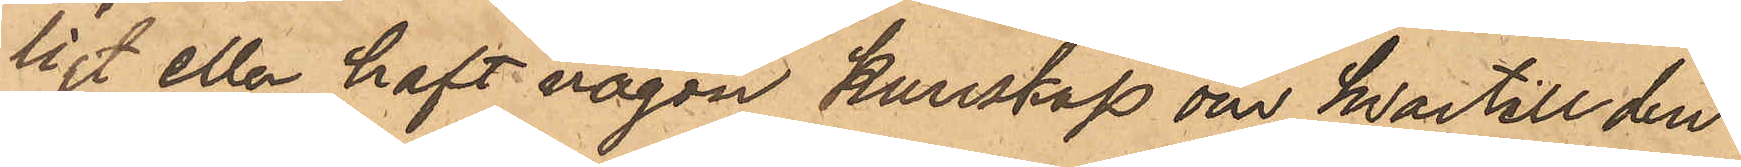ligt eller haft någon kunskap om hvartill den
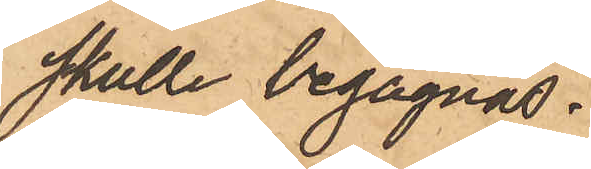skulle begagnas.
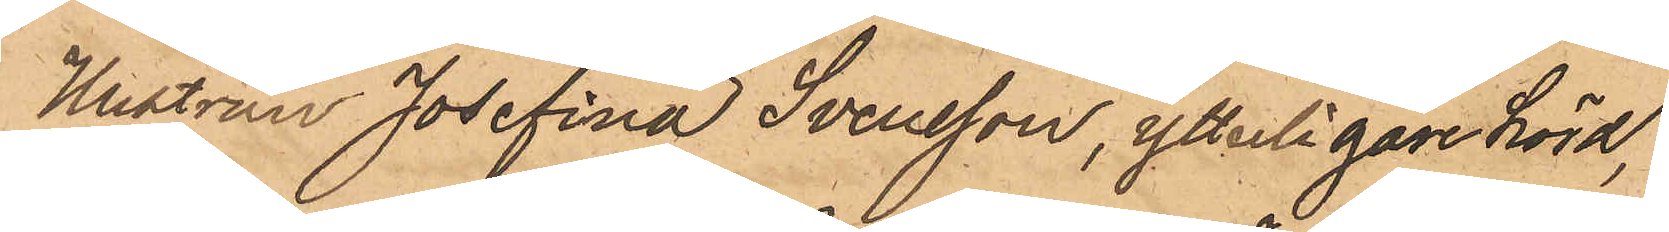Hustrun Josefina Svensson, ytterligare hörd,
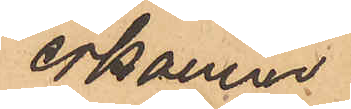erkänner
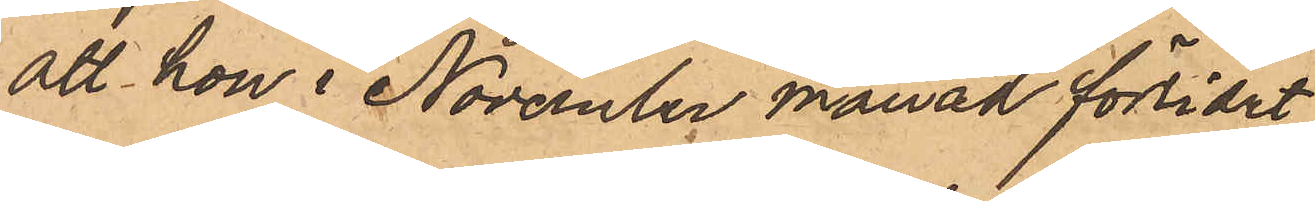att hon i November månad förlidet
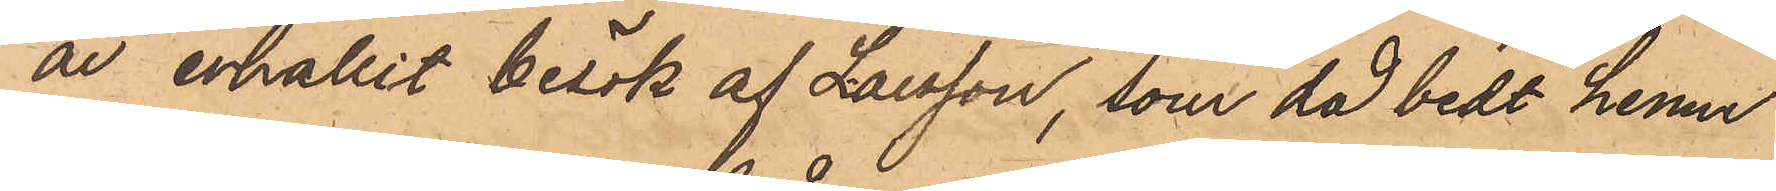år erhållit besök af Larsson, som då bedt henne
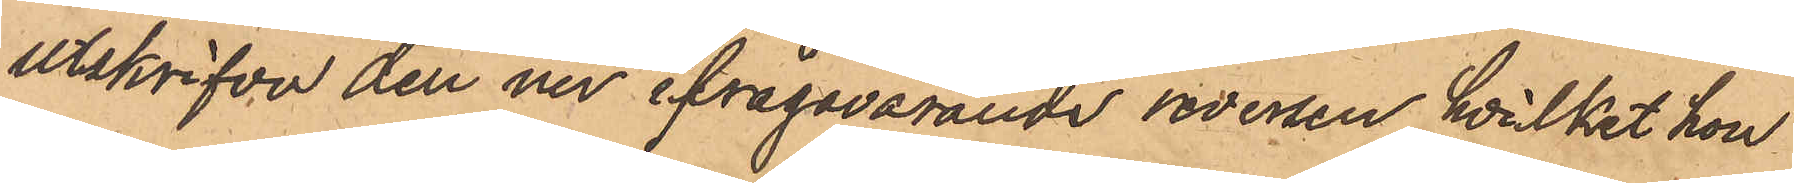utskrifva den nu ifrågavarande reversen, hvilket hon
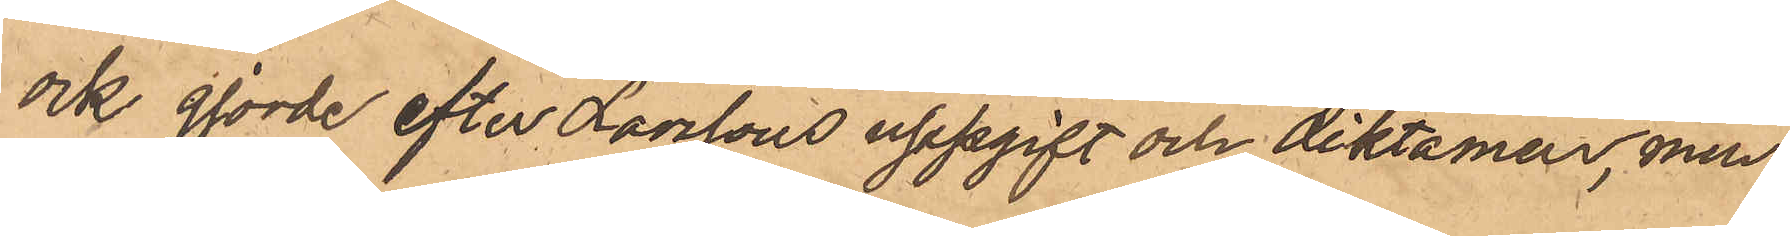ock gjorde efter Larssons uppgift och diktamen, men
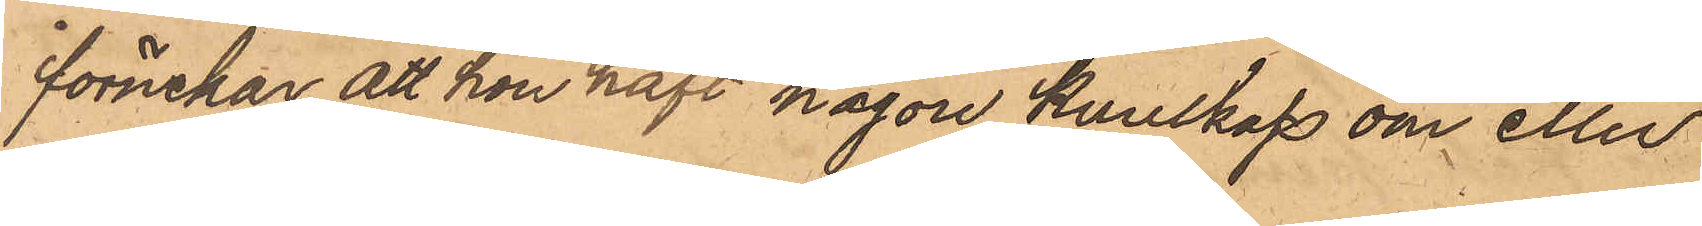förnekar att hon haft någon kunskap om eller
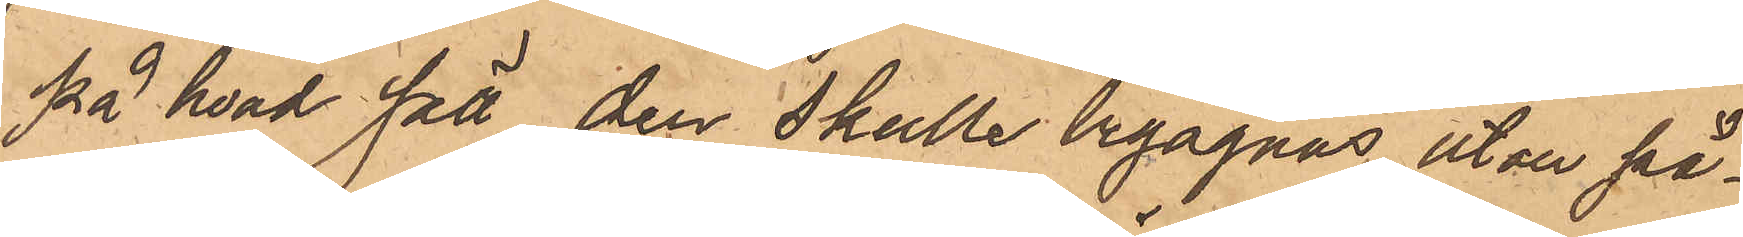på hvad sätt den skulle begagnas, utan på¬
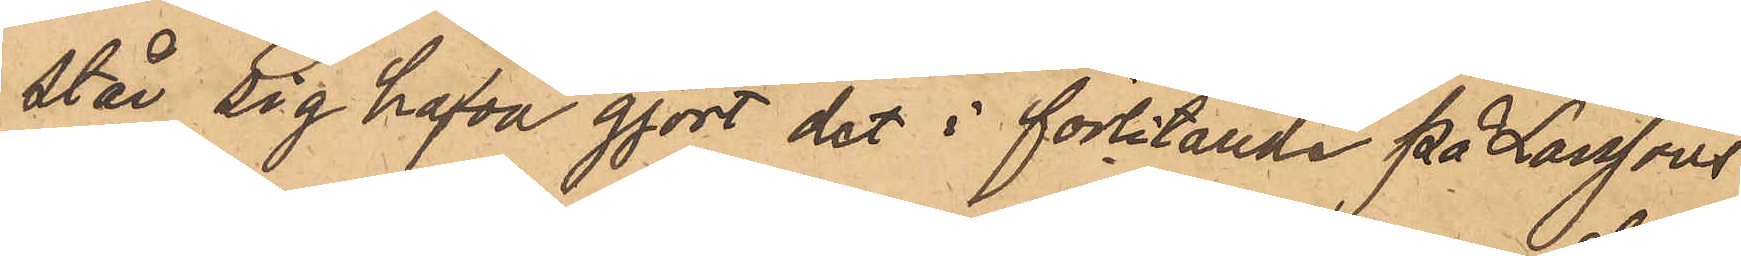står sig hafva gjort det i förlitande på Larssons
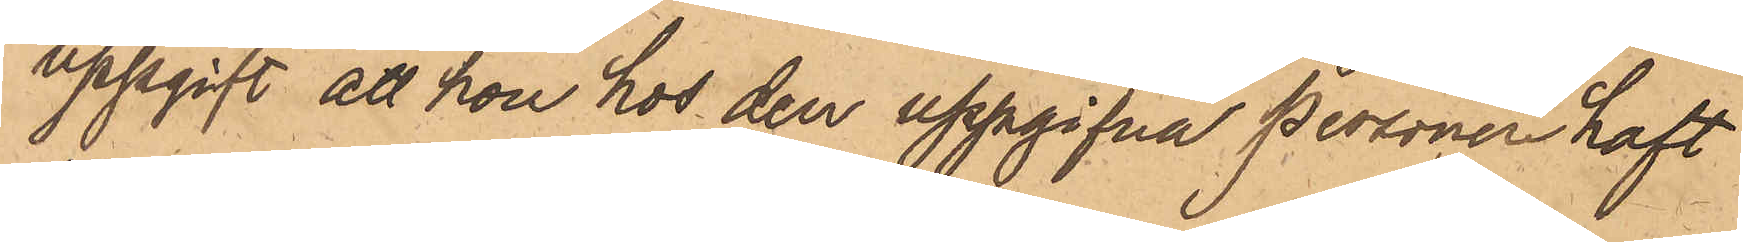uppgift att hon hos den uppgifna personer haft
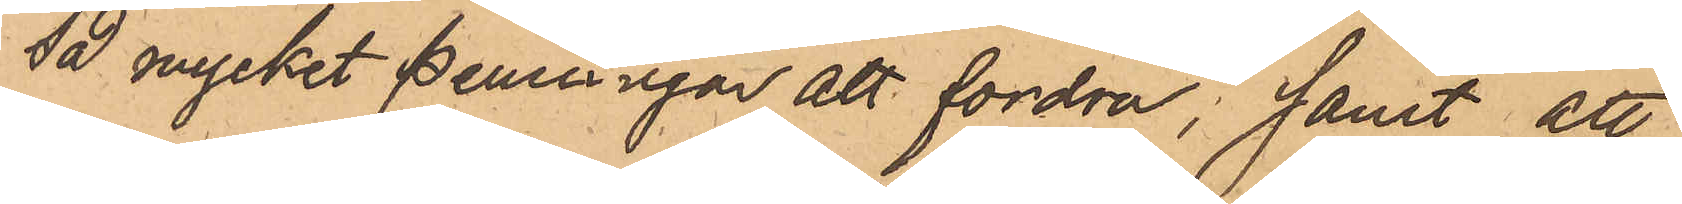sa mycket penningar att fordra; samt att
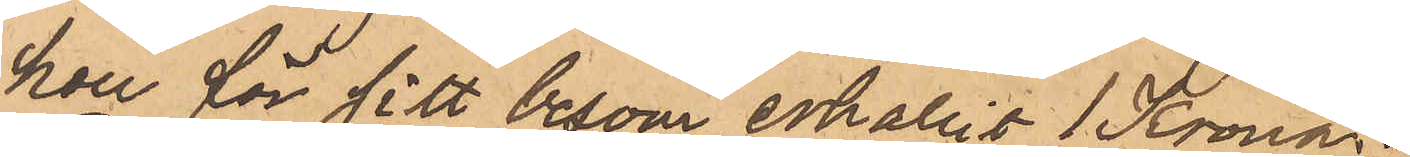hon för sitt besvär erhållit 1 Krona.
